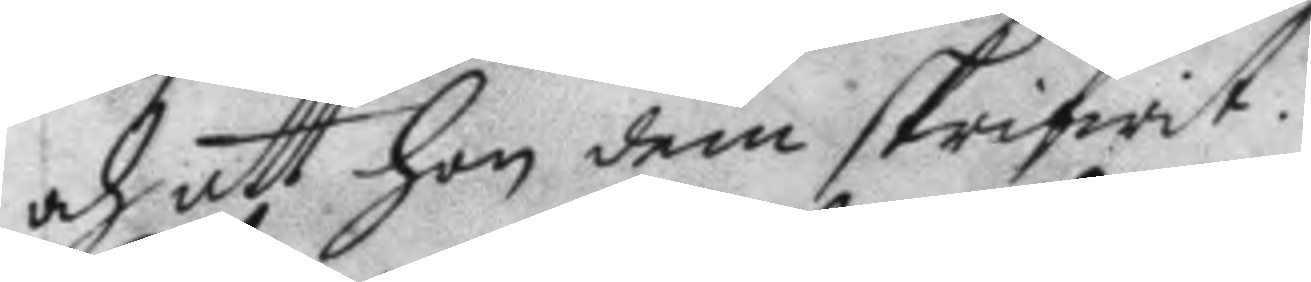och att hon dem skrifwit.
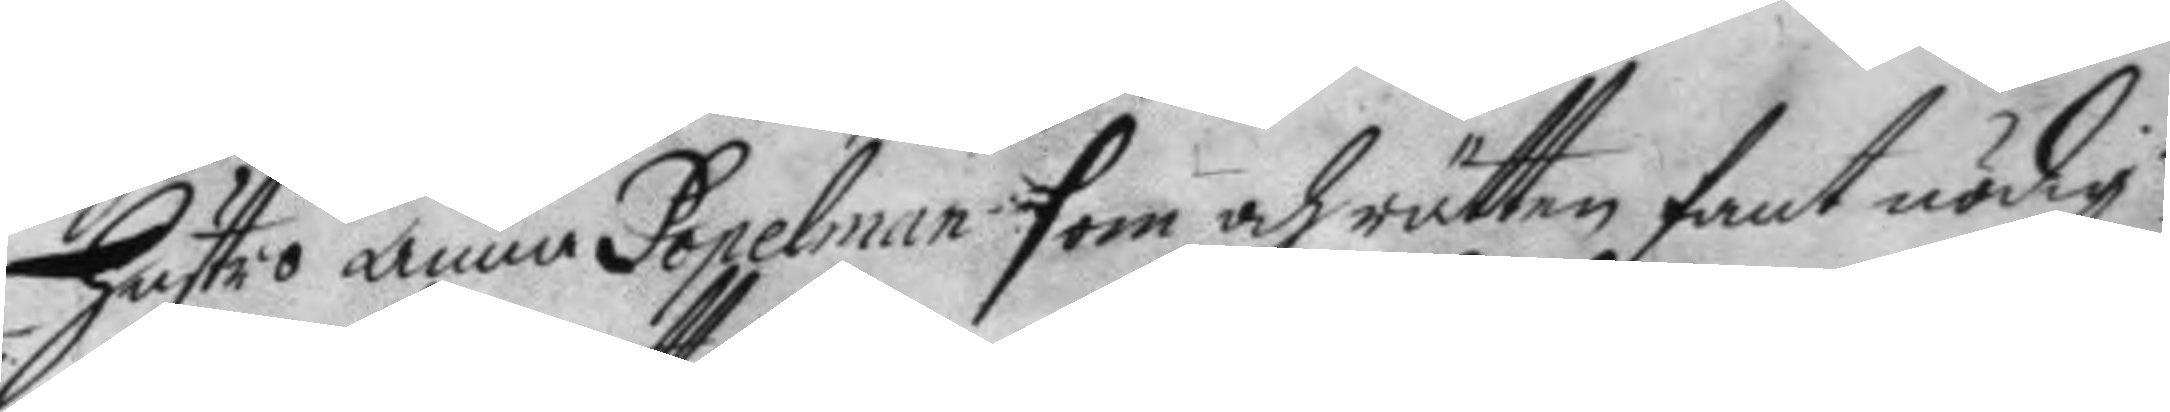Hustro Anna Popelman som och rätten fant nödig
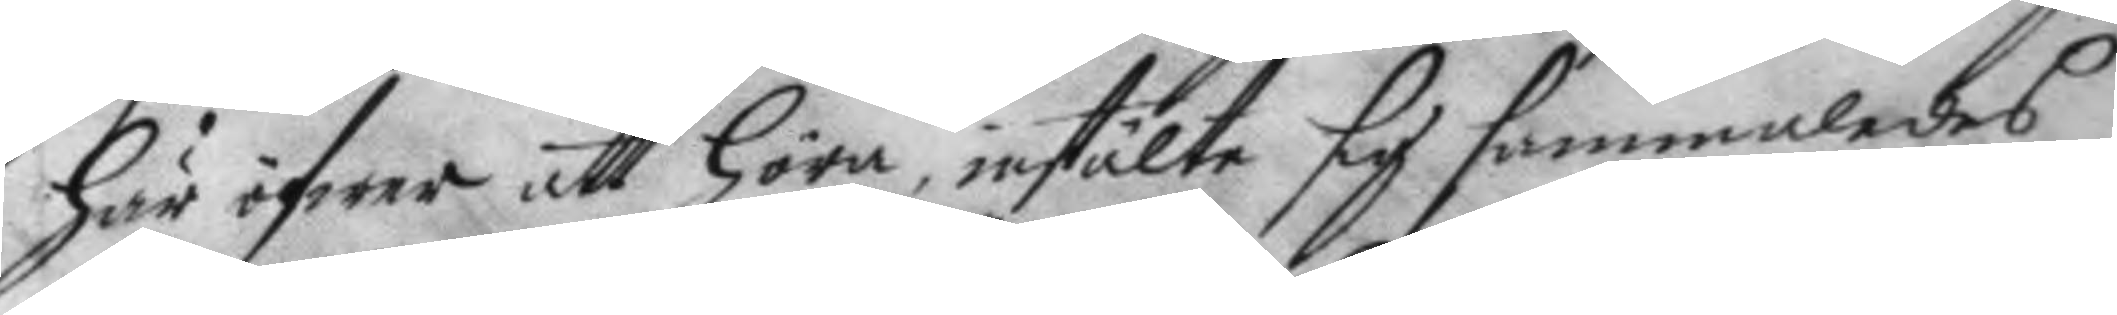här öfwer att Höra, instälte sig sammaledes
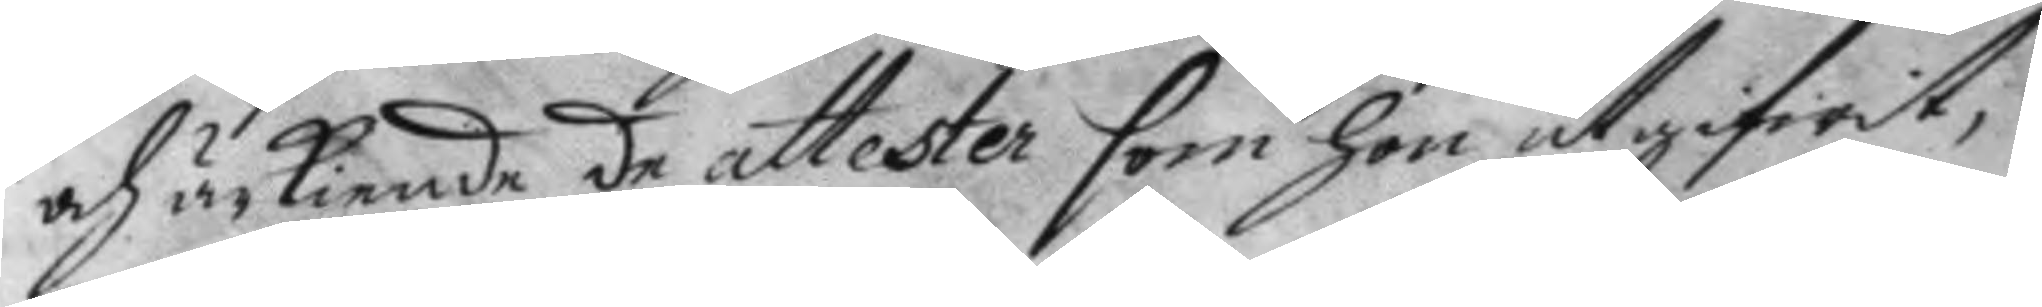och ärkiende de attester som hon utgifwit;
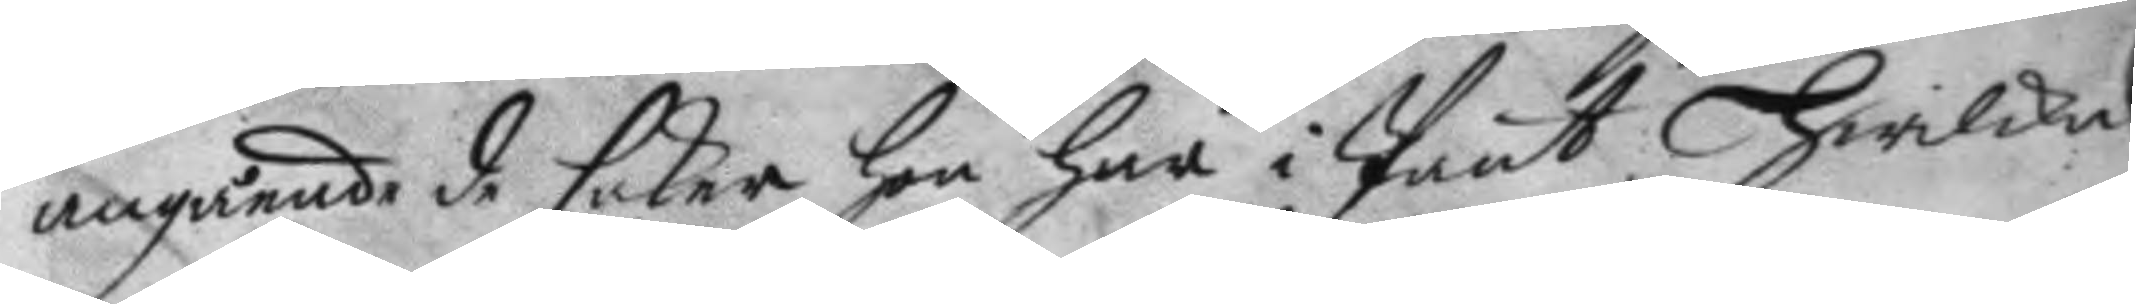angående de saker hon har i Pant, Hwilke
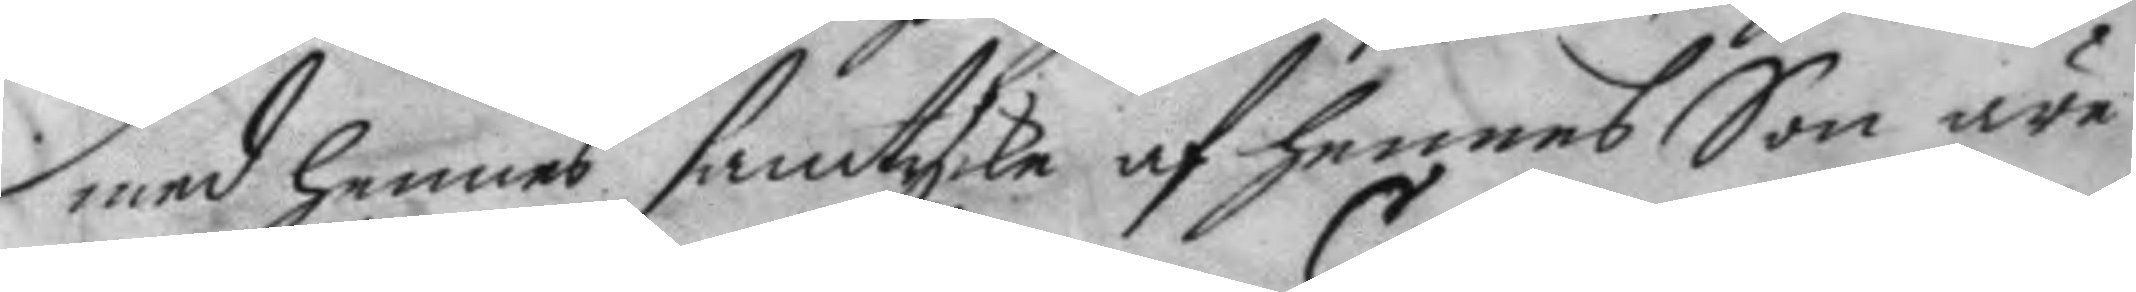med hennes samtycke af hennes Son äre
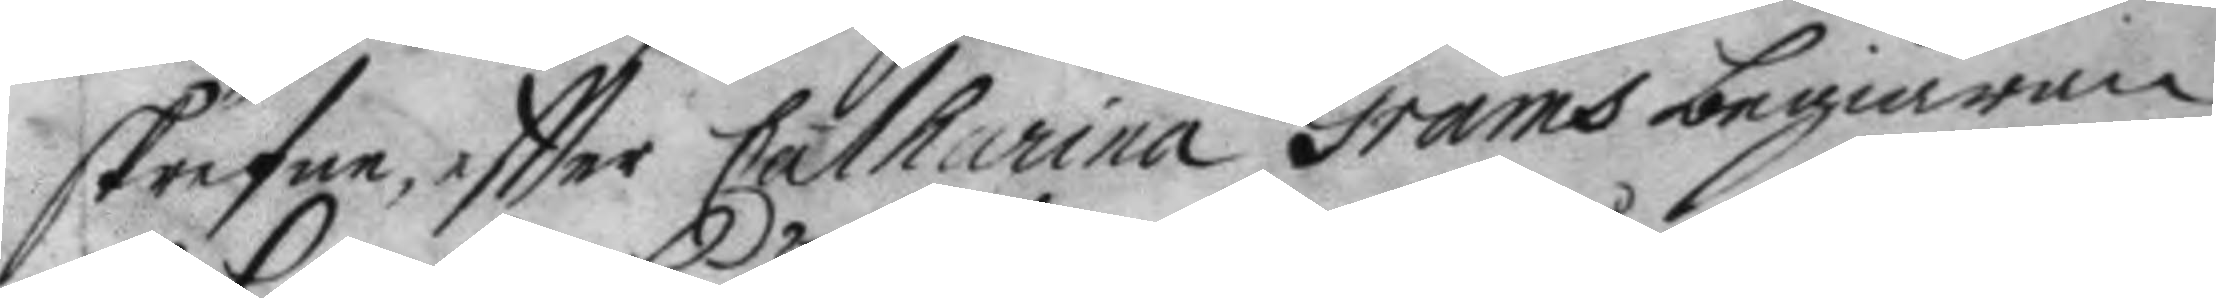skrefne, eftter Catharina Grams begiäran
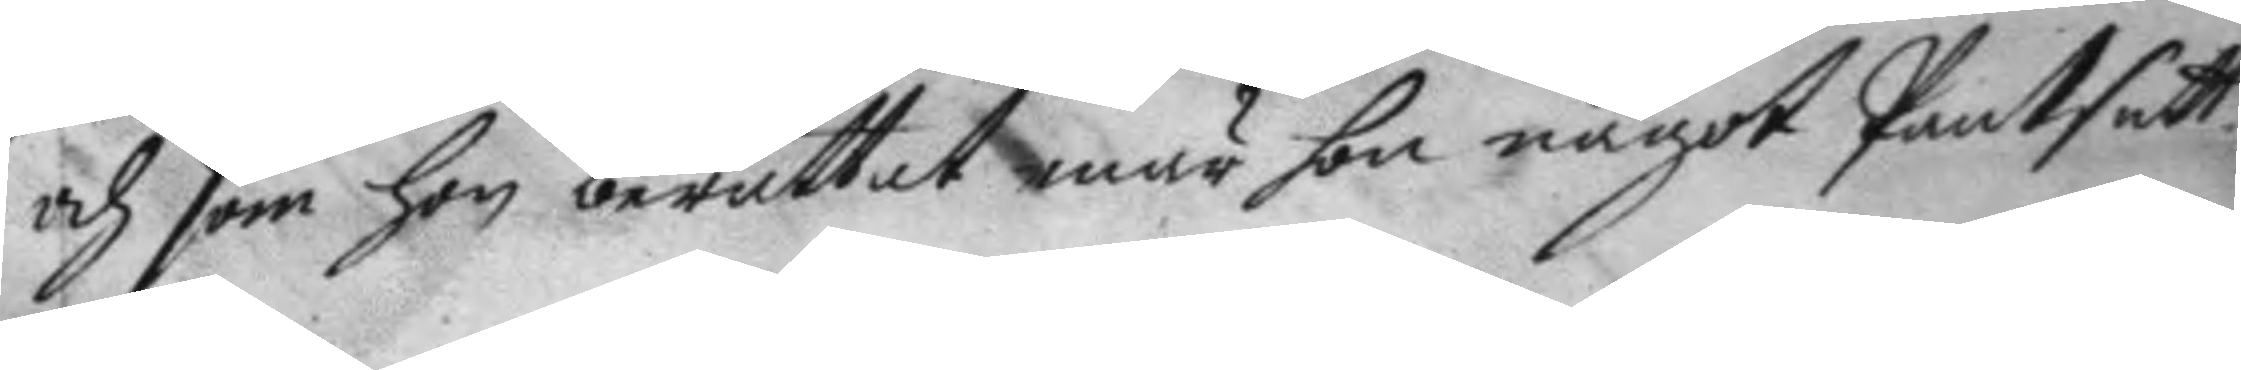och som hon berättat enär hon något Pantsatt
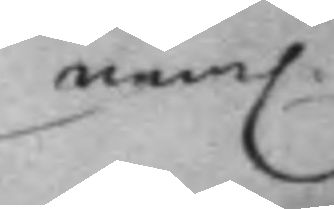nem. 
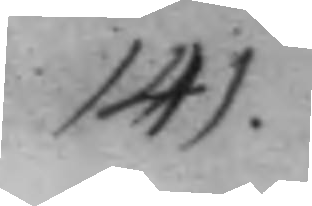141.
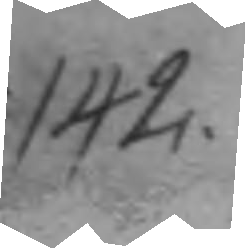142.
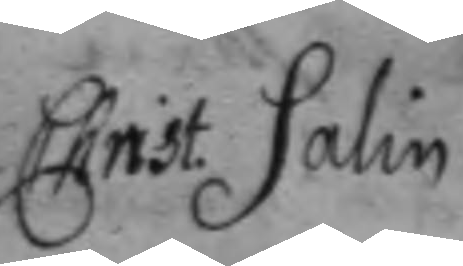Christ. Salin
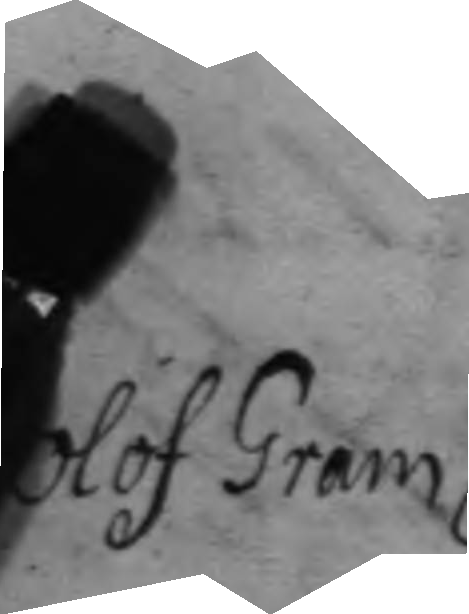Olof Gram
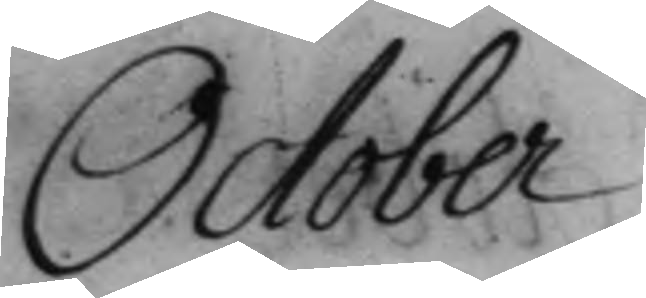October.
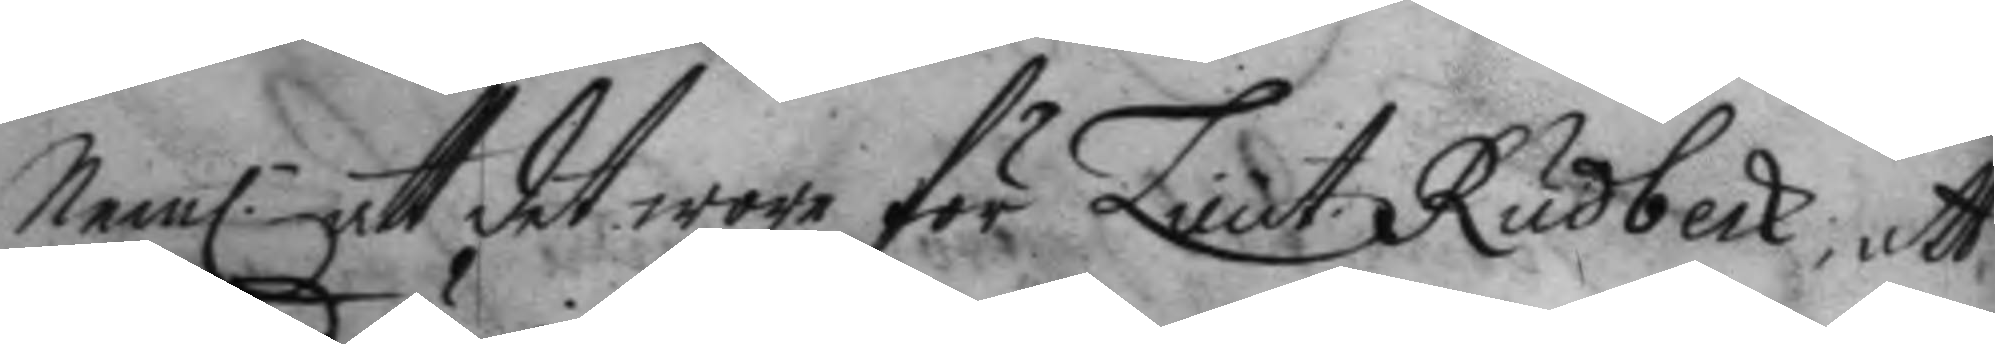Nem. att det wore för Lieut. Rudbeck, att 
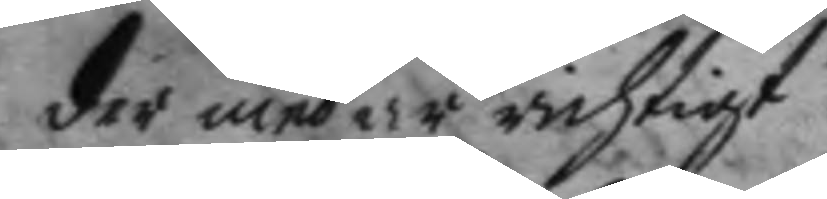der med är richtigt.
